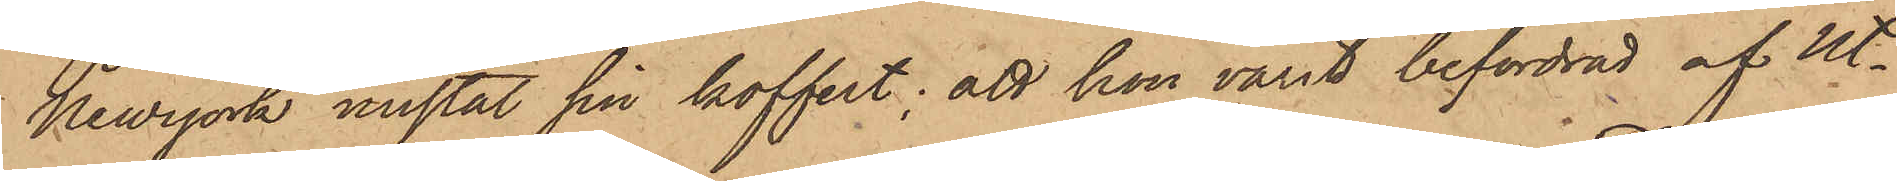Newyork mistat sin koffert; att hon varit befordrad af ut¬
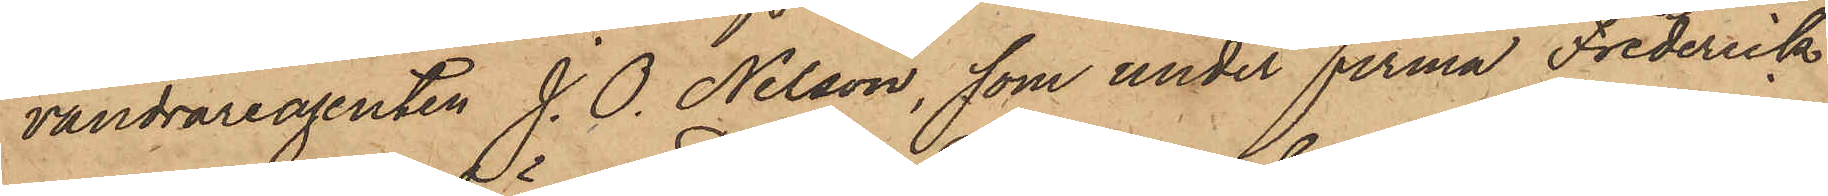vandrareagenten J. O. Nelson, som under firma Frederick
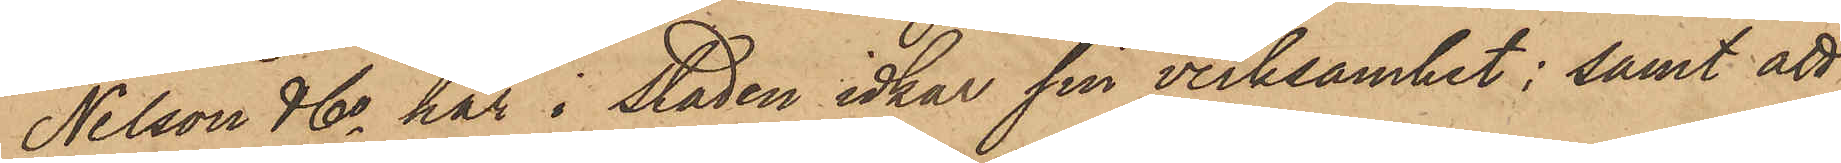Nelson & Co här i Staden idkar sin verksamhet; samt att
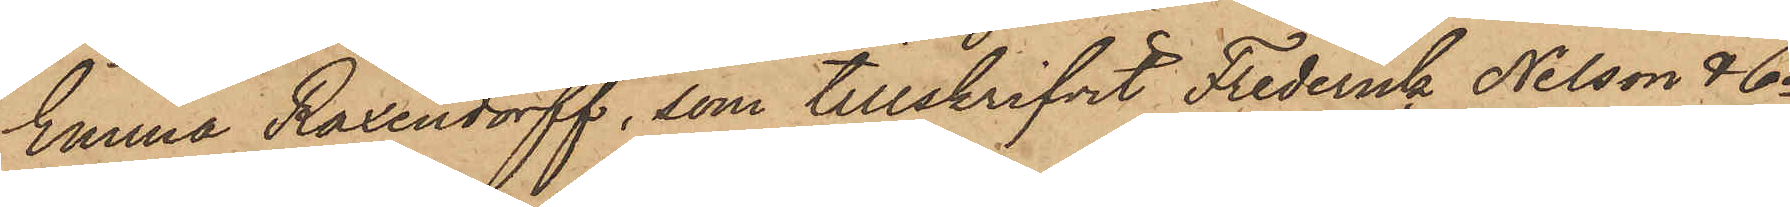Emma Roxendorff, som tillskrifvit Frederick Nilsson & Co
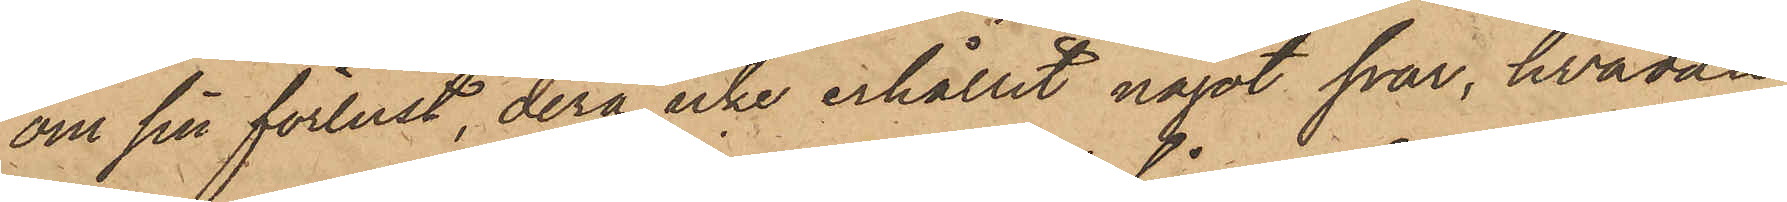om sin förlust, derå icke erhållit något svar, hvadan
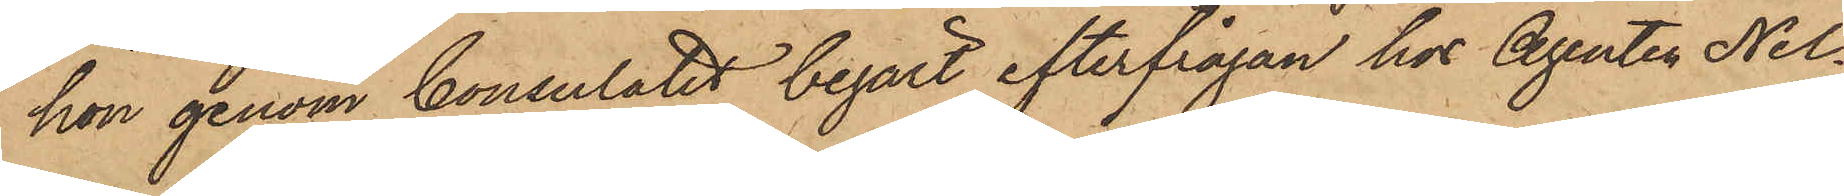hon genom Consulatet begärt efterfrågan hos Agenten Nel¬
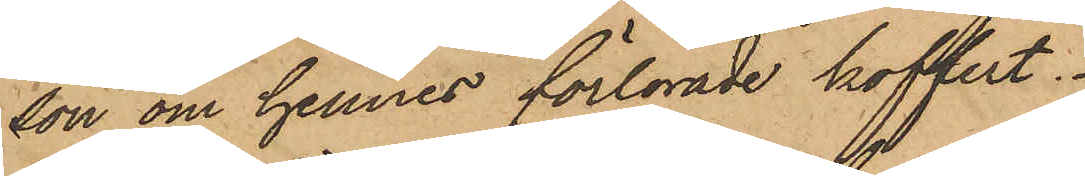son om hennes förlorade koffert.
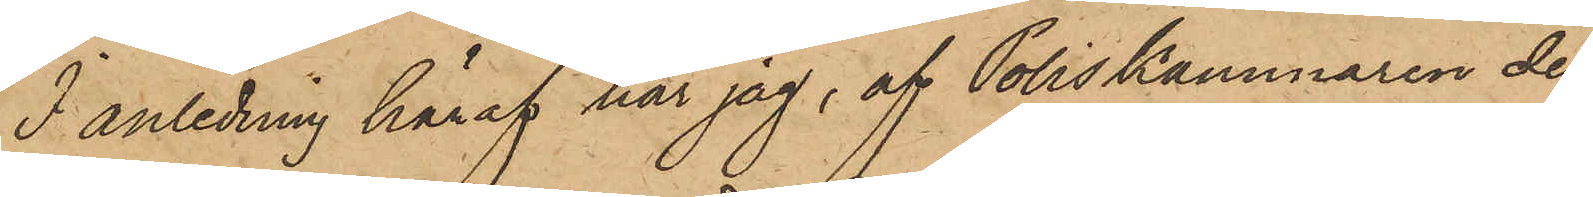I anledning häraf har jag, af Poliskammaren der¬
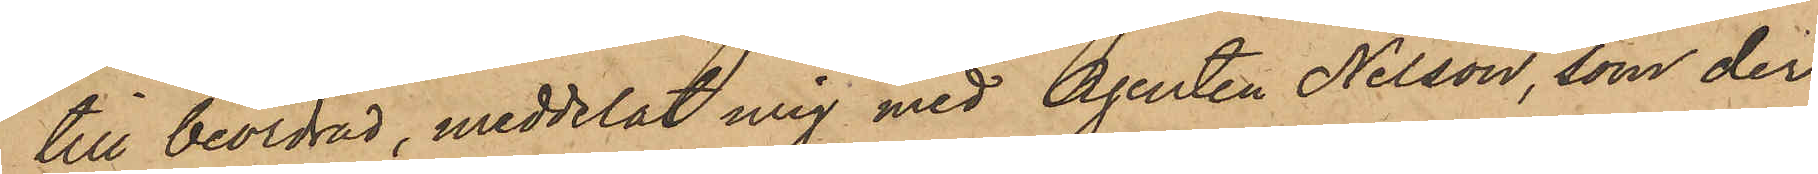till beordrad, meddelat mig med Agenten Nelson, som der¬
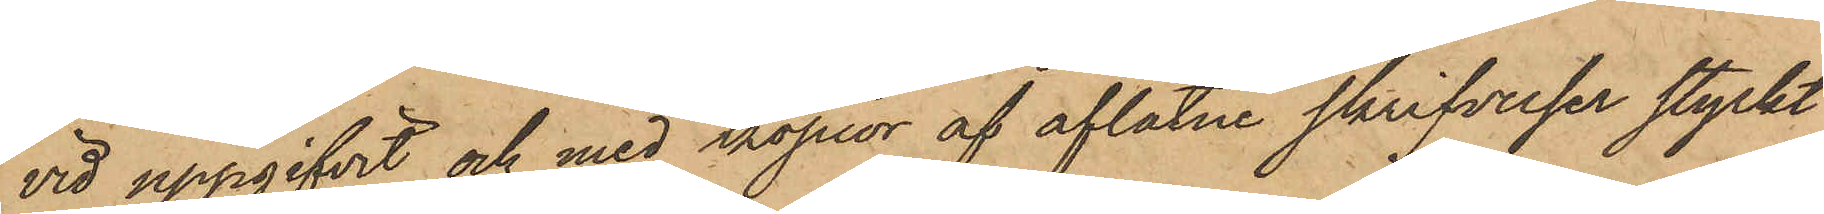vid uppgifvit och med kopior af aflåtne skrifvelser styrkt
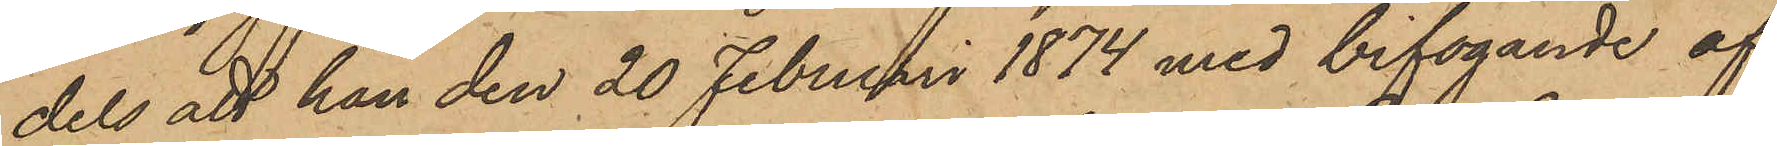dels att han den 20 Februari 1874 med bifogande af
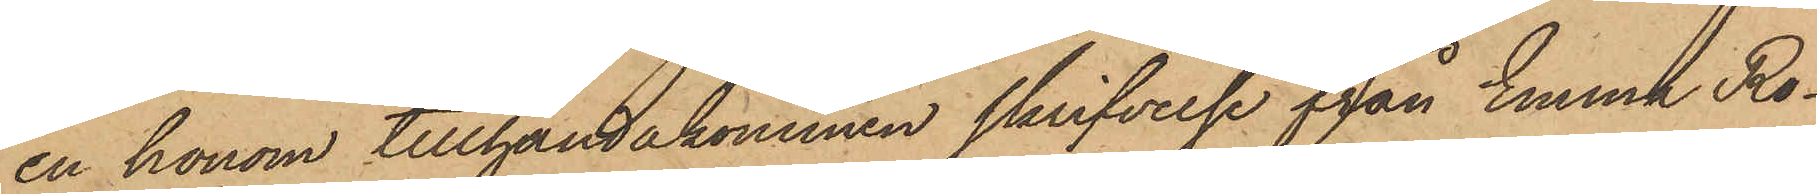en honom tillhandakommen skrifvelse från Emma Ro¬
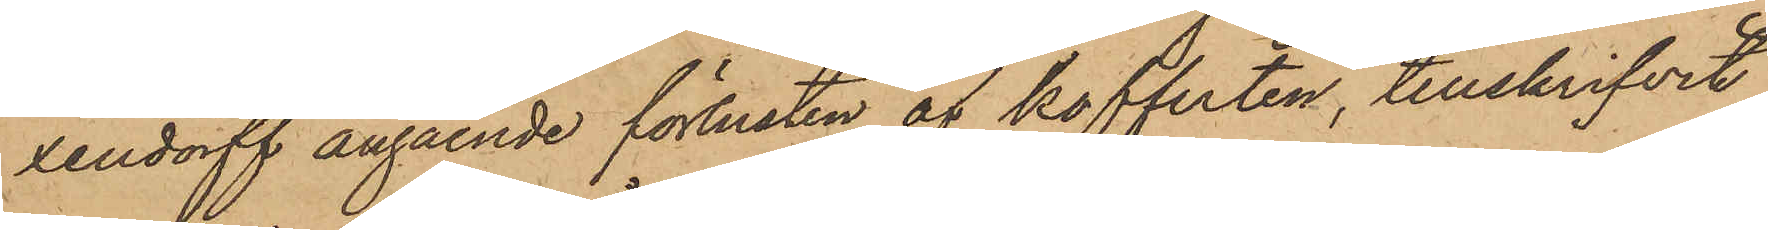xendorff angående förlusten af kofferten, tillskrifvit
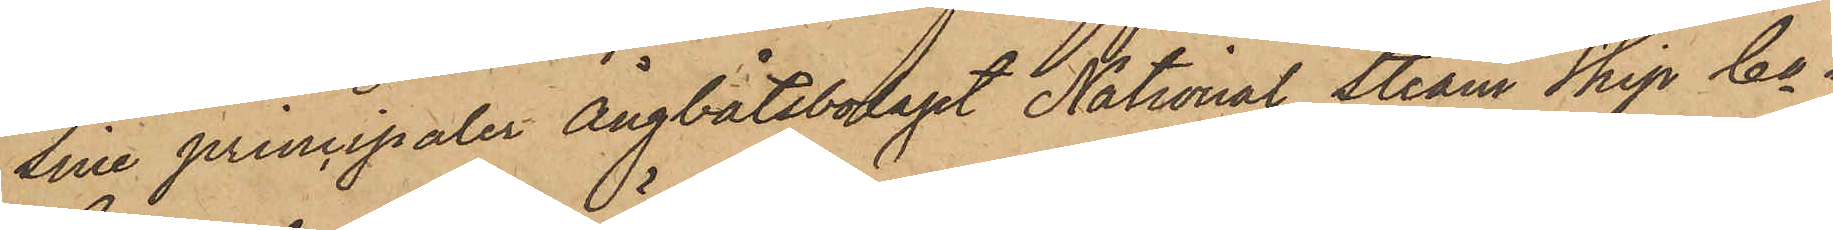sine principaler Ångbåtsbolaget National Steam Skip Co i
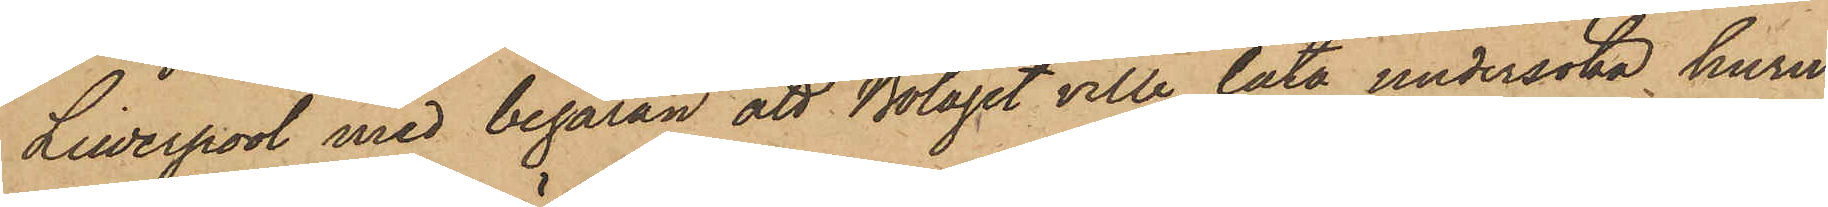Liwerpool med begäran att Bolaget ville låta undersöka huru¬
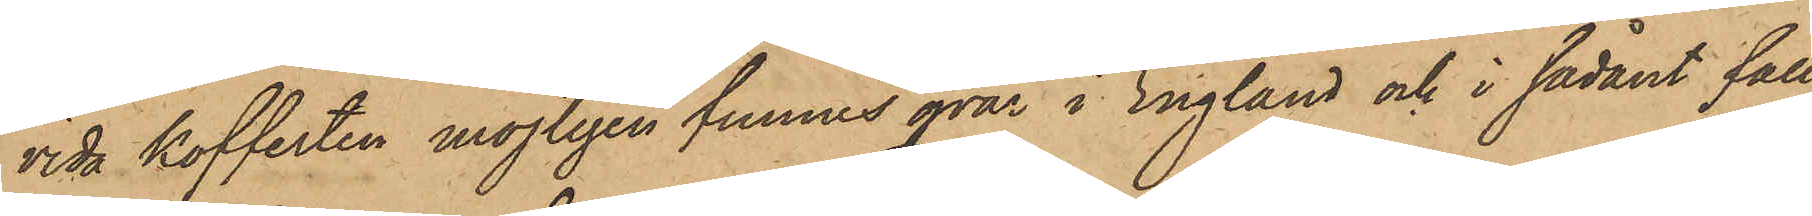vida Kofferten möjligen funnes qvar i England och i sådant fall
